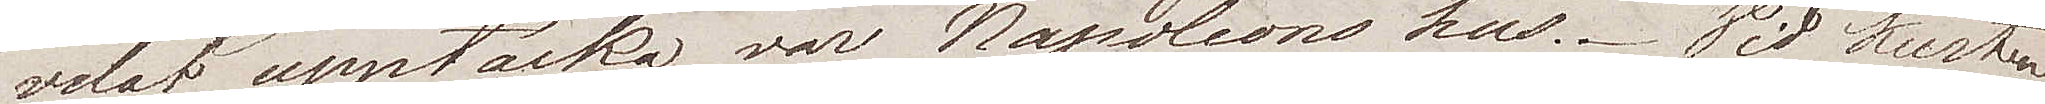velat upptäcka var Napoleons hus. Vid kusten
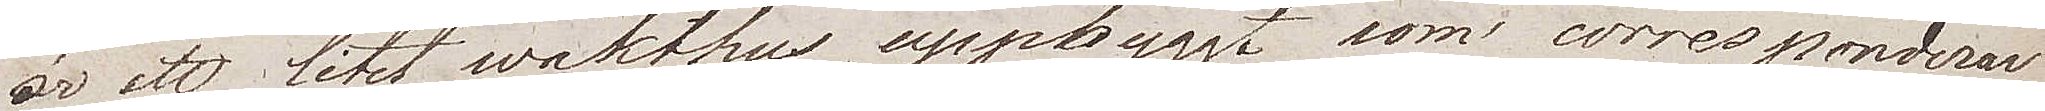är ett litet vakthus uppbyggt som corresponderar
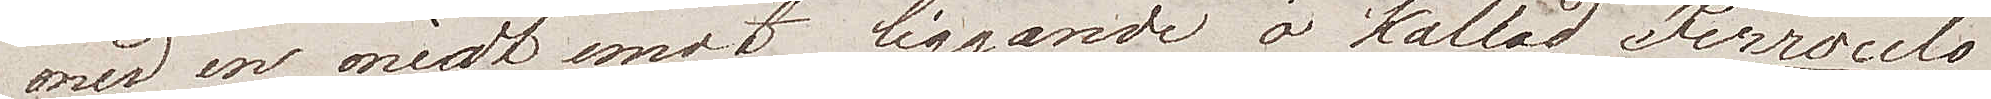med en midt emot liggande ö kallad Ferroculo
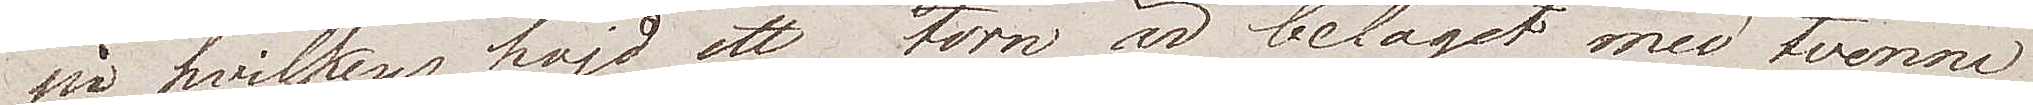på hvilkens höjd ett torn är beläget med tvenne
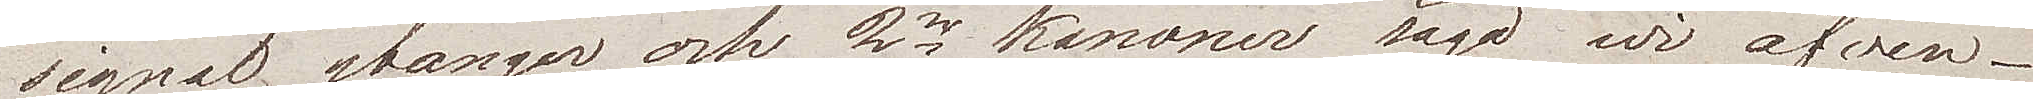signal stänger och 2ne kanoner sågo wi äfwen.
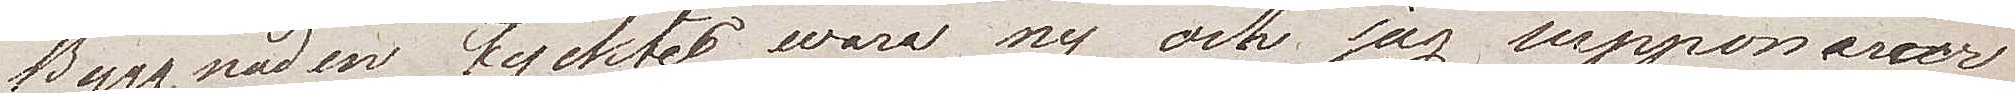Byggnaden tycktes wara ny och jag supponerar
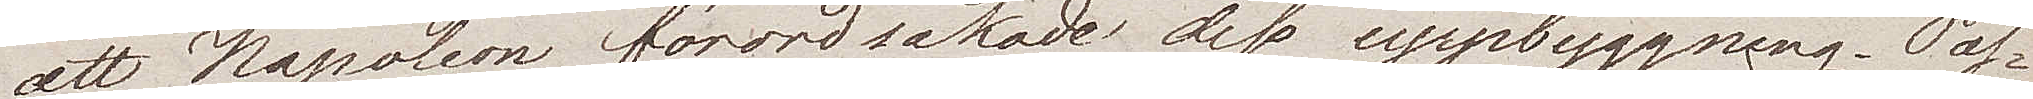att Napoleon förorsakade dess uppbyggning. Pas¬
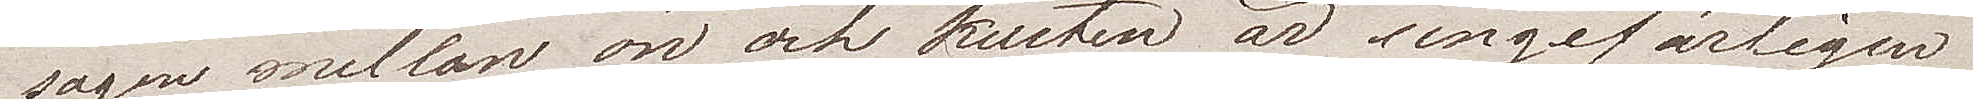sagen mellan ön och kusten är ungefärligen
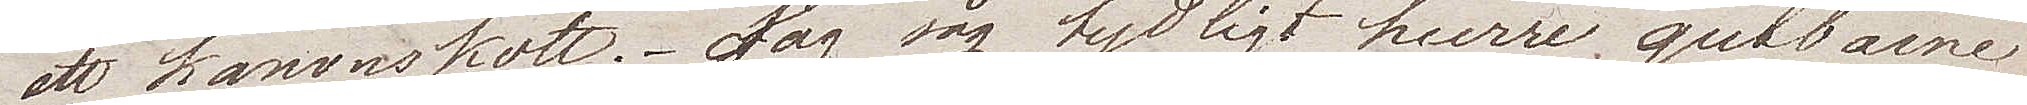ett kanonskott. Jag såg tydligt huru gubbarne
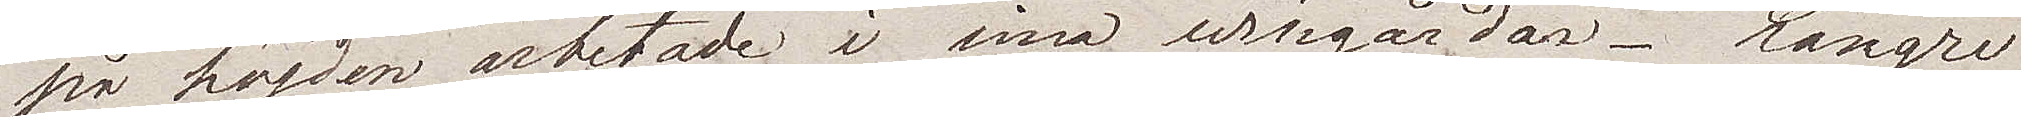på höjden arbetade i sina wingårdar. Längre
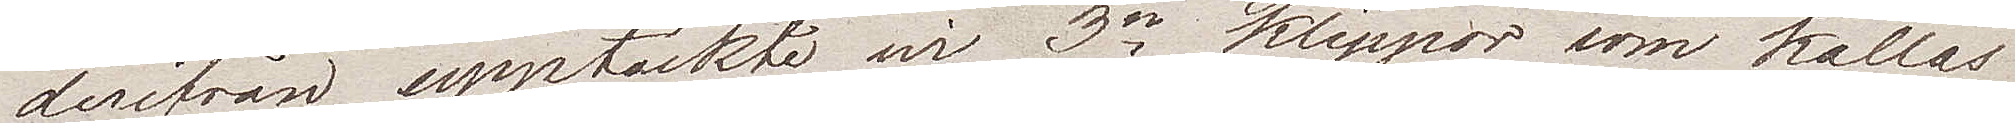derifrån upptäckte wi 3ne klippor som kallas
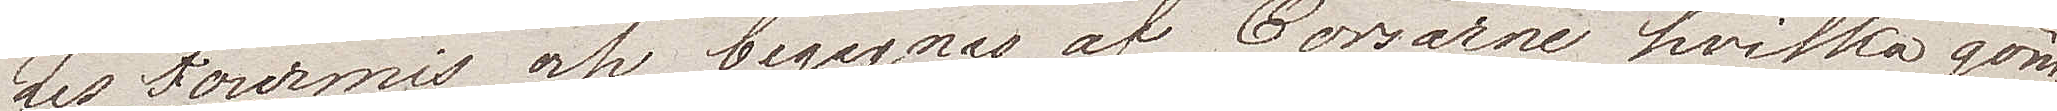Les Fourmis och begagnas av Corsarne, hvilka göm¬
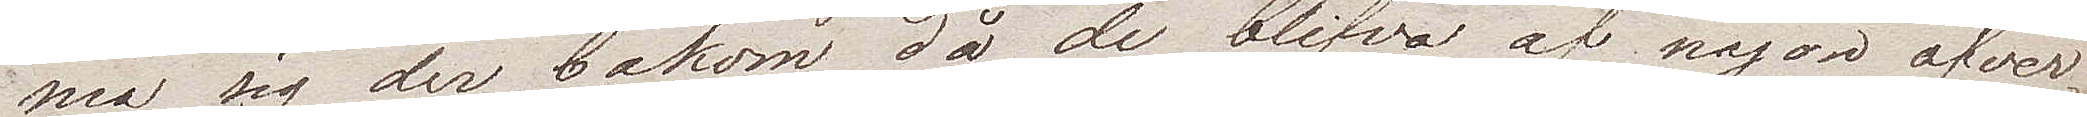ma sig der bakom då de blifva af någon öfver¬
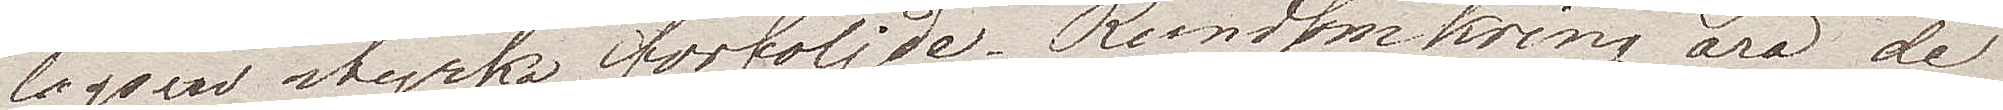lägsen styrka förföljde. Rundtomkring äro de
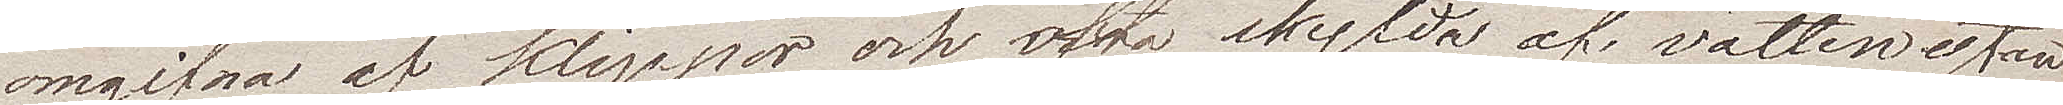omgifna af klippor och ofta skylda af vattenytan
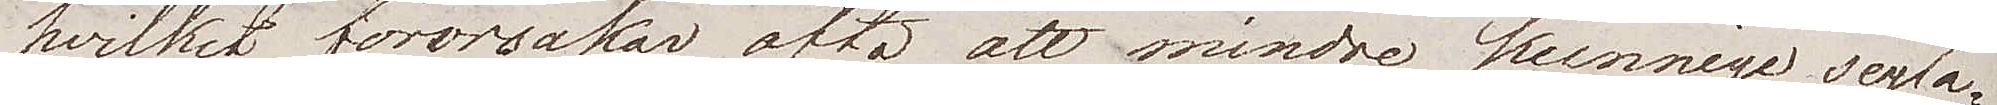hvilket förorsakar ofta att mindre kunnige segla¬
